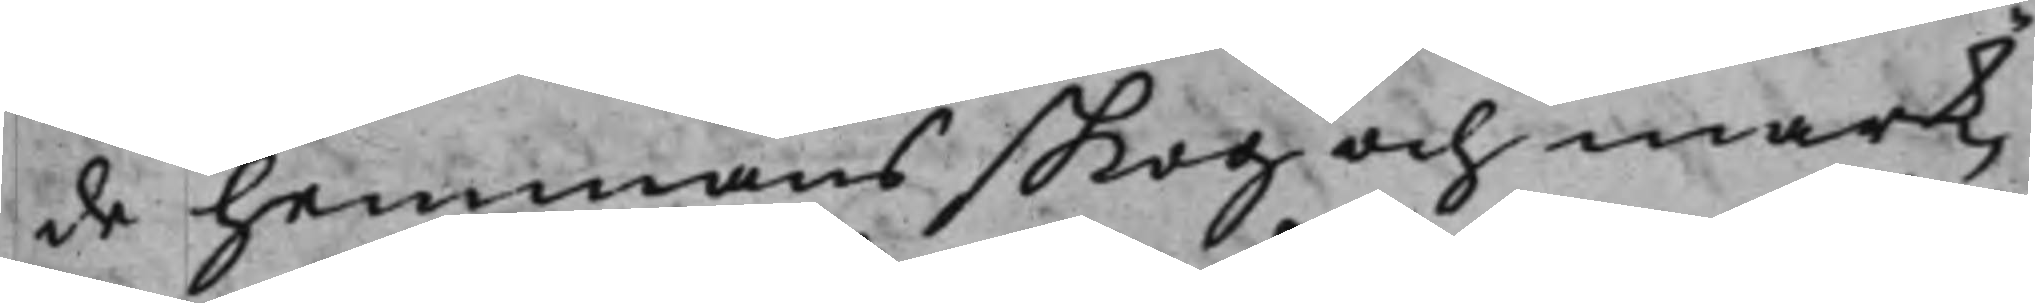de hemmans skog och mark,
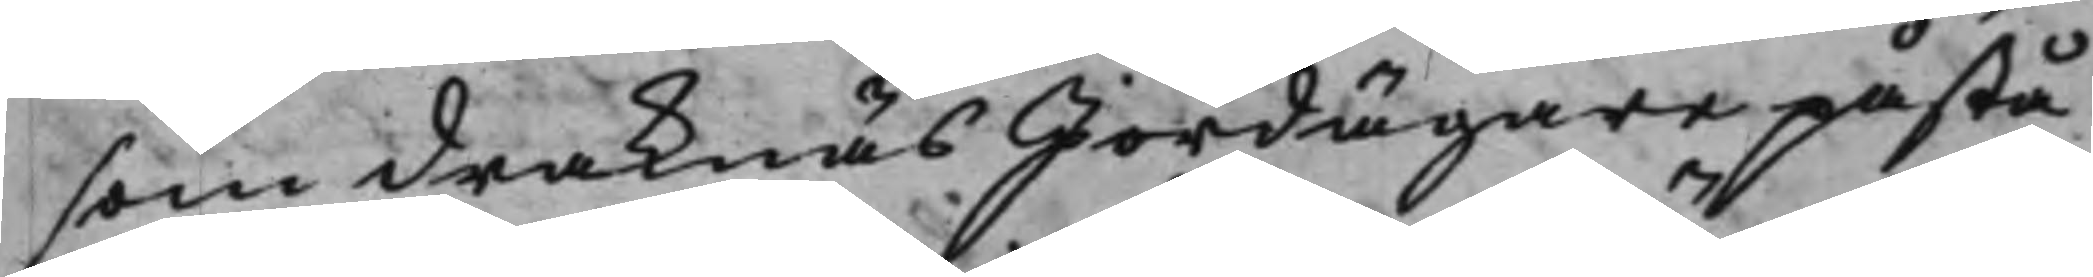som Draknäs Jordägare påstå
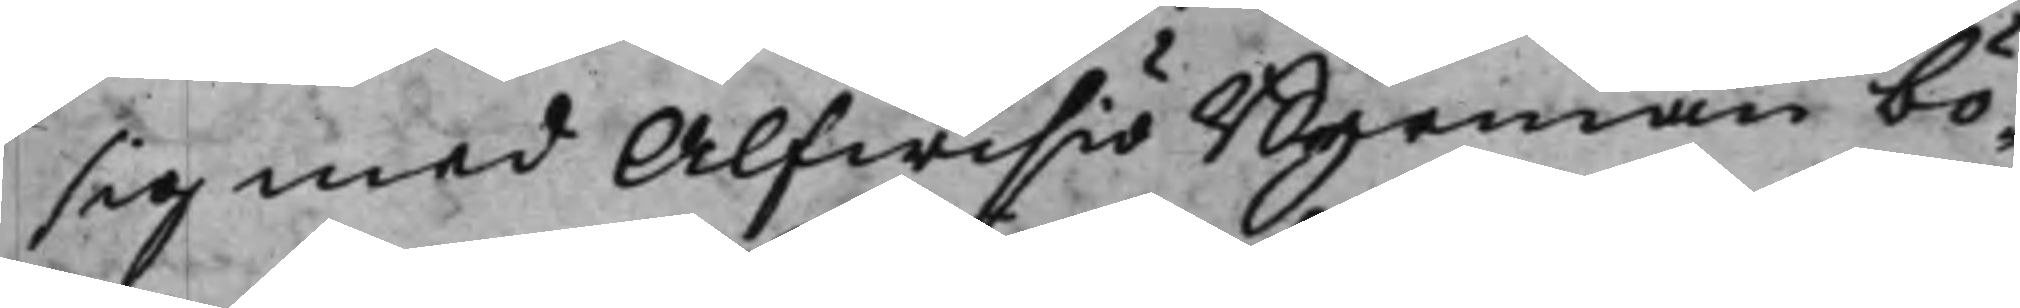sig med Alfwisiö Byemän bö¬
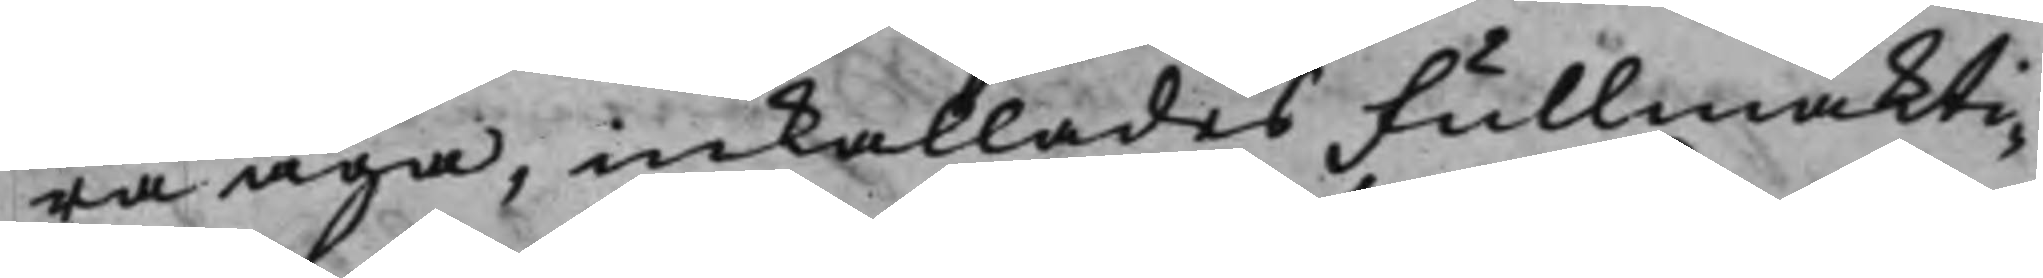ra äga, inkallades Fullmäkti¬
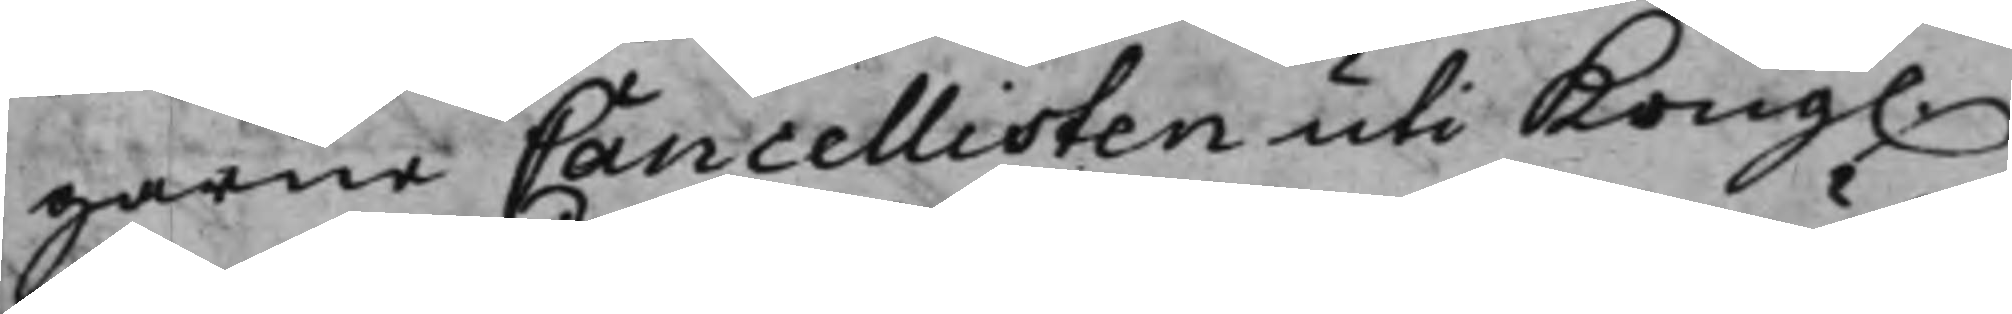garne Cancellisten uti Kong.
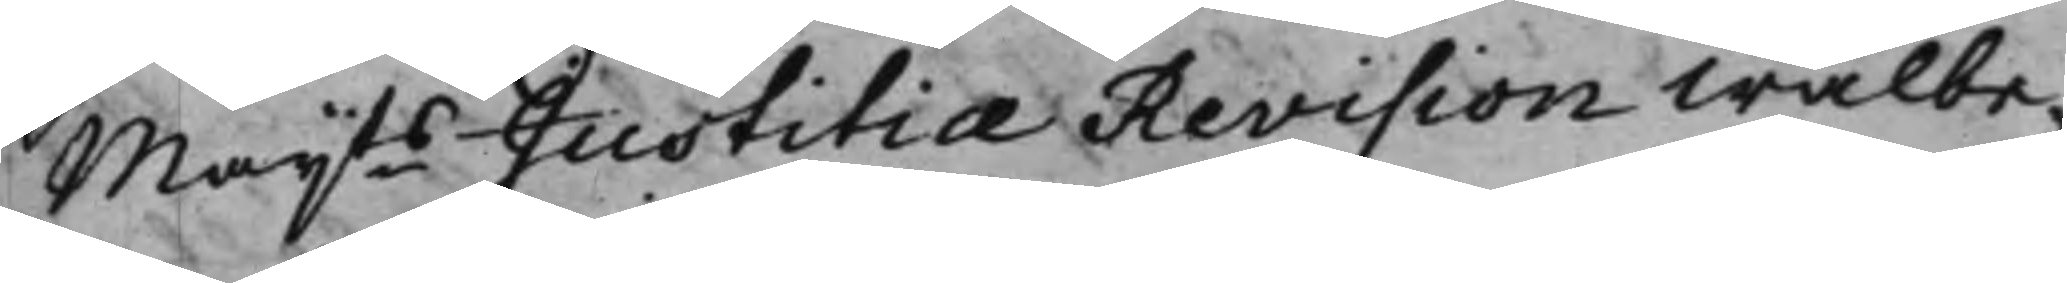Maijts JustitiæRevision Wälbe¬
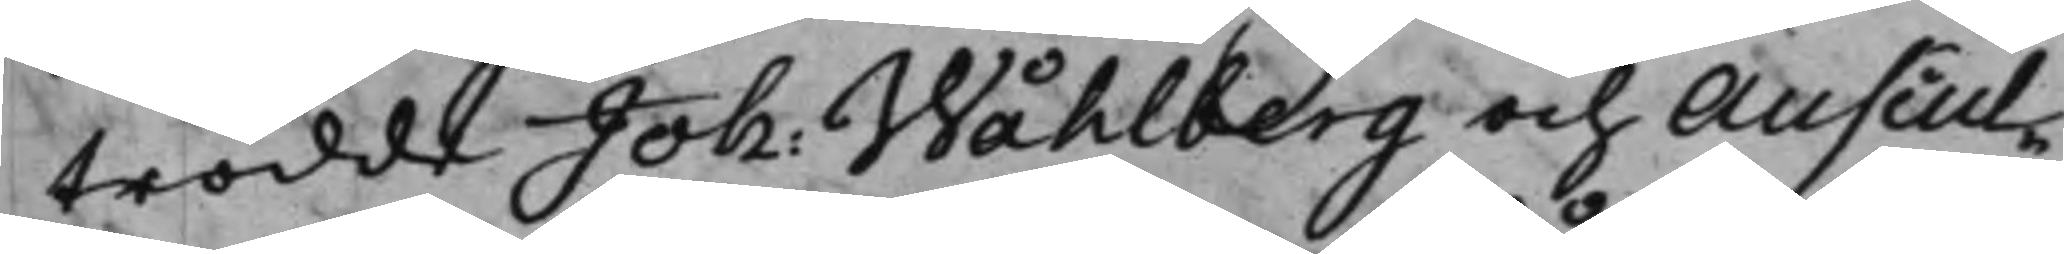trodde Joh: Wåhlberg och Auscul¬
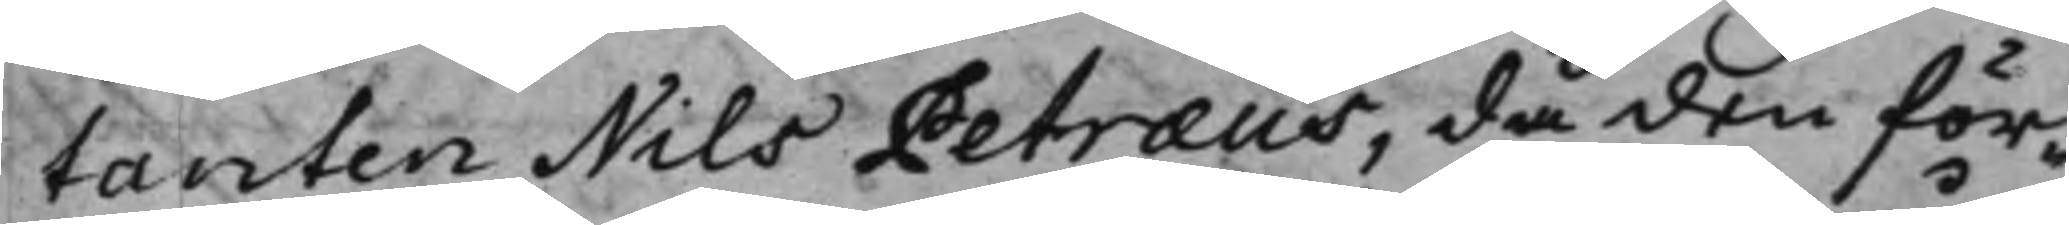tanten Nils Petræus, då den för¬
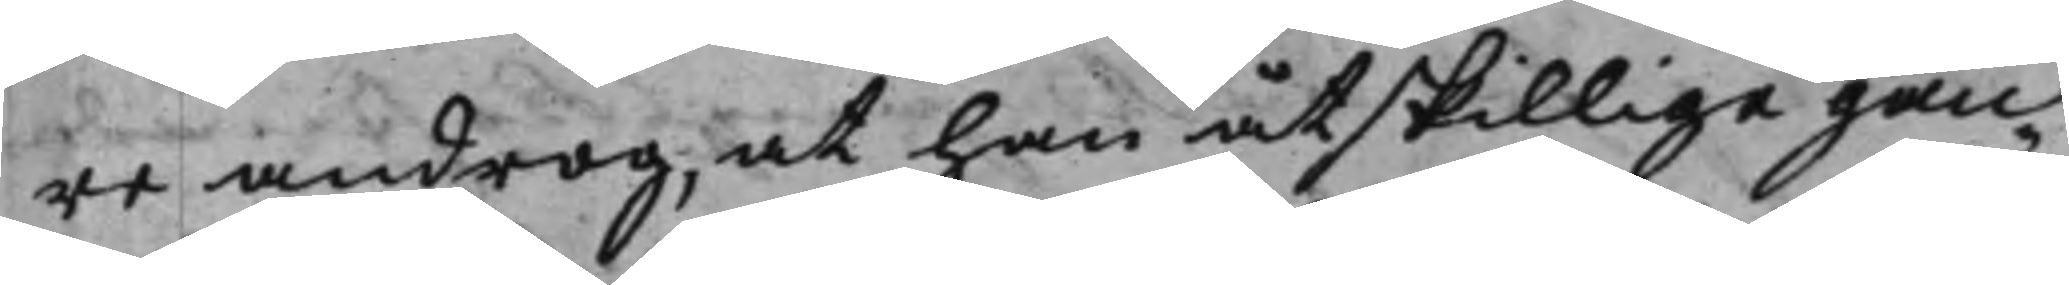re androg, at han åtskillige gån¬
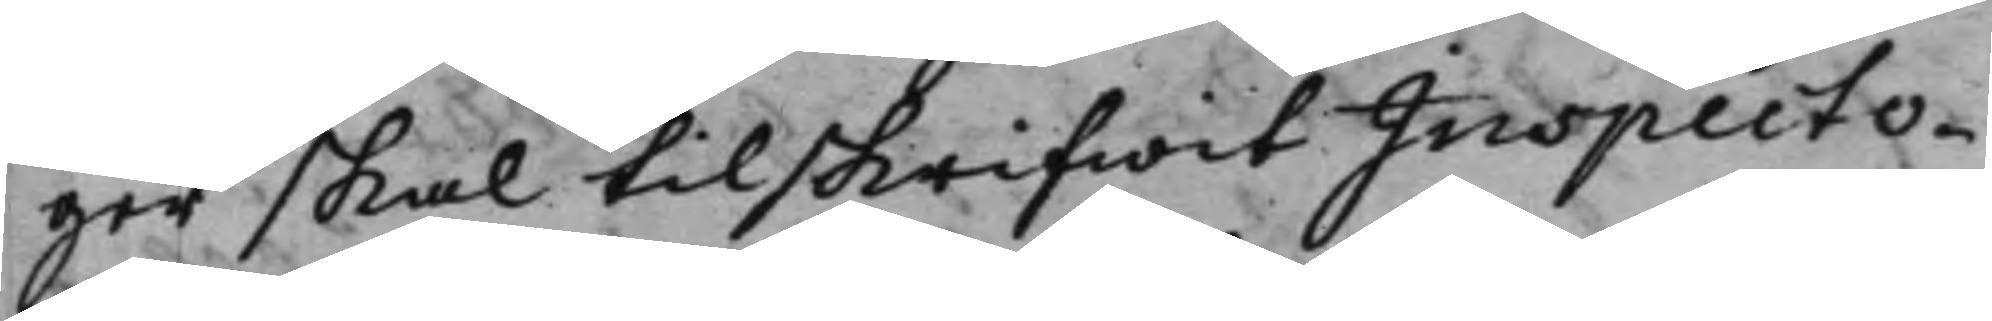ger skal tilskrifwit Inspecto¬
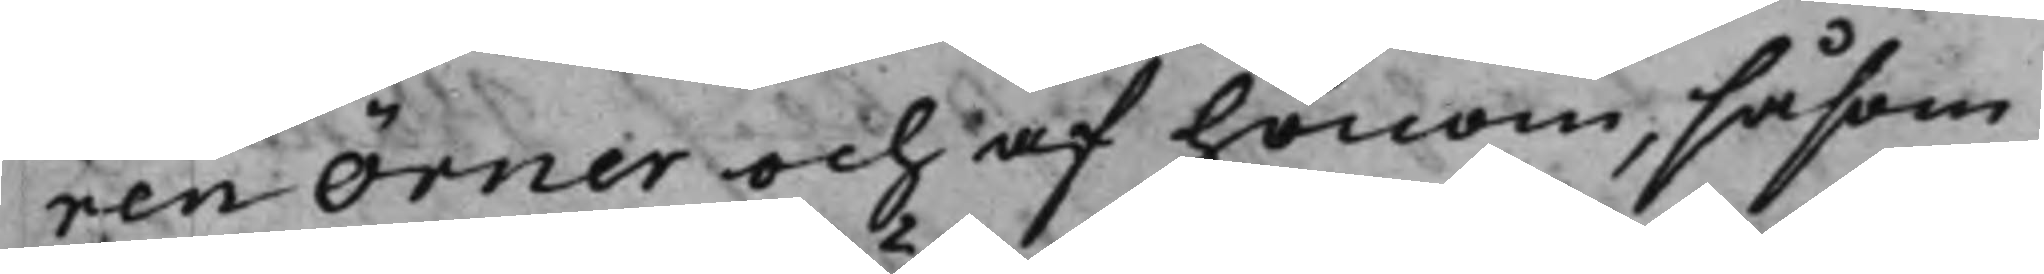ren Örner och af honom, såsom
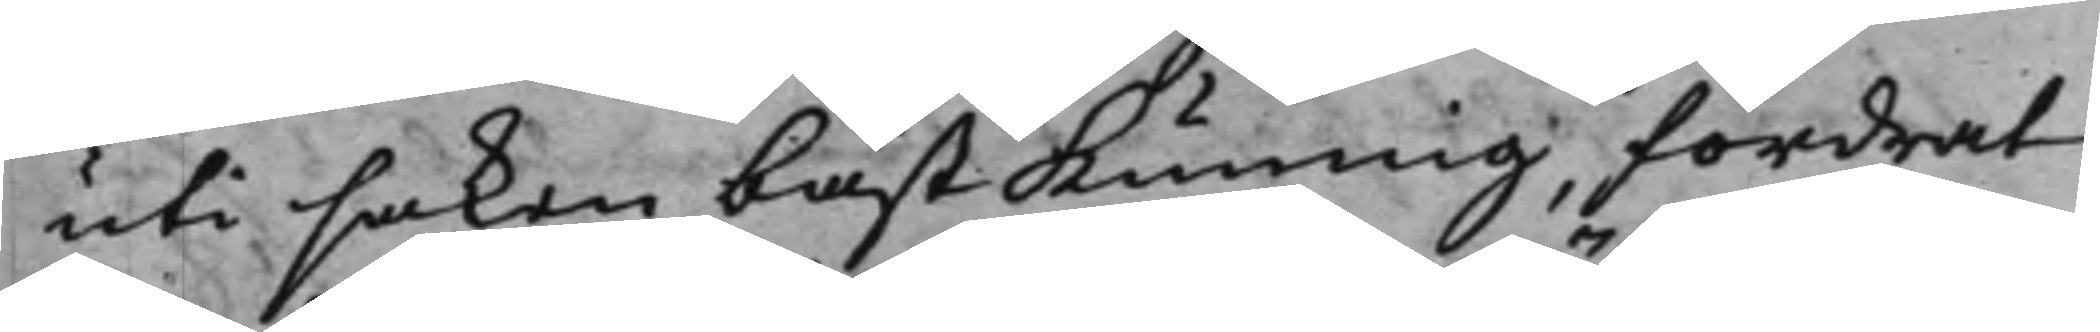uti saken bäst kunnig, fordrat
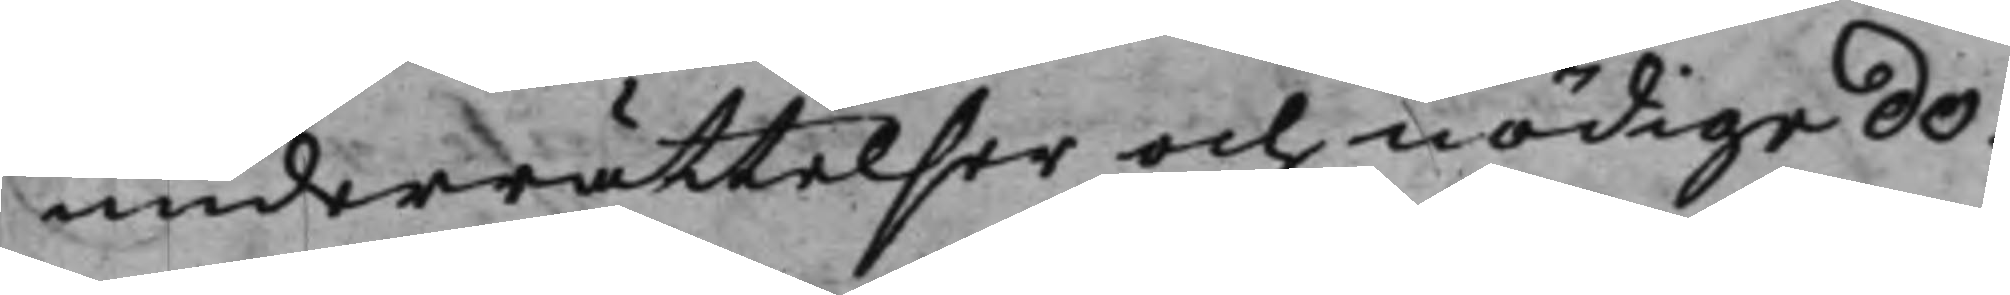underrättelser och nödige Do¬
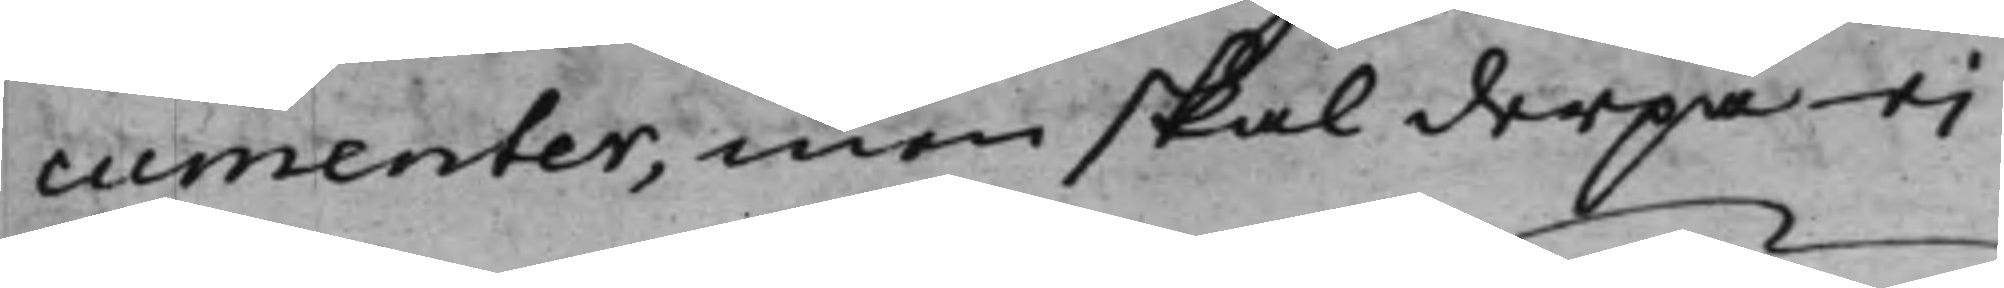cumenter, men skal derpå ej
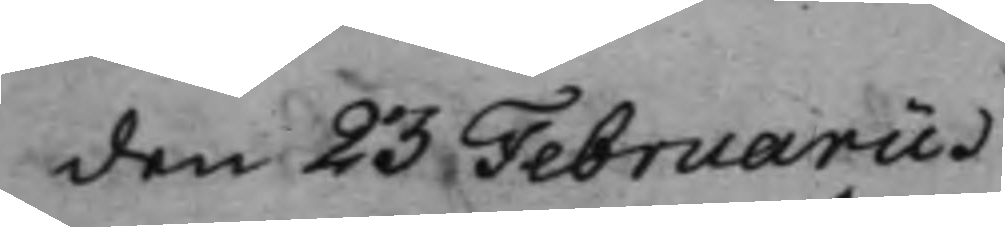den 23 Februarii
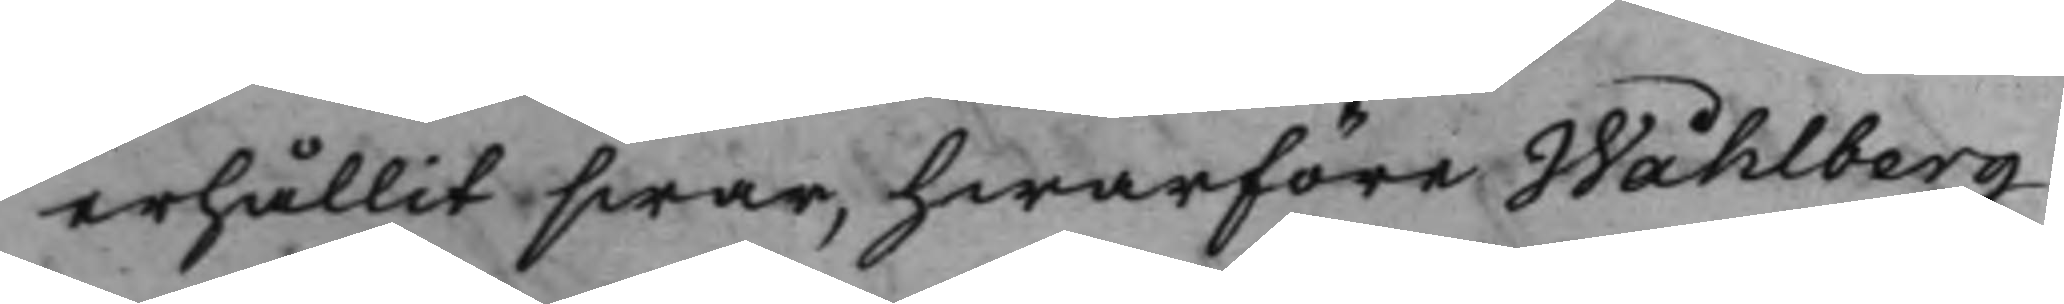erhållit swar, hwarföre Wåhlberg
